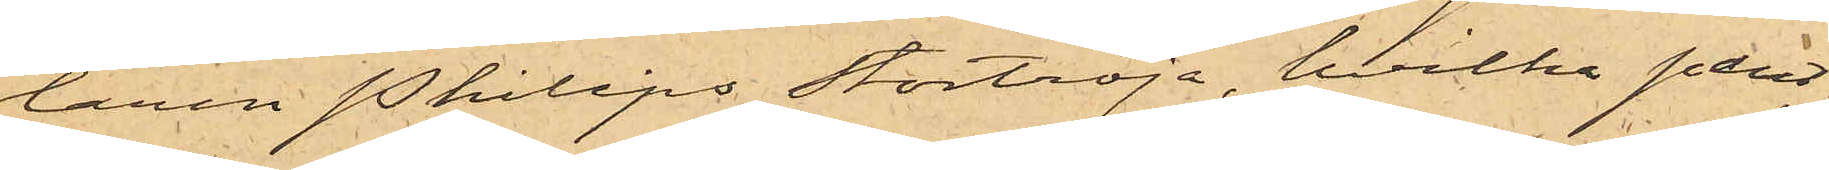laren Philips stortröja, hvilka pant¬
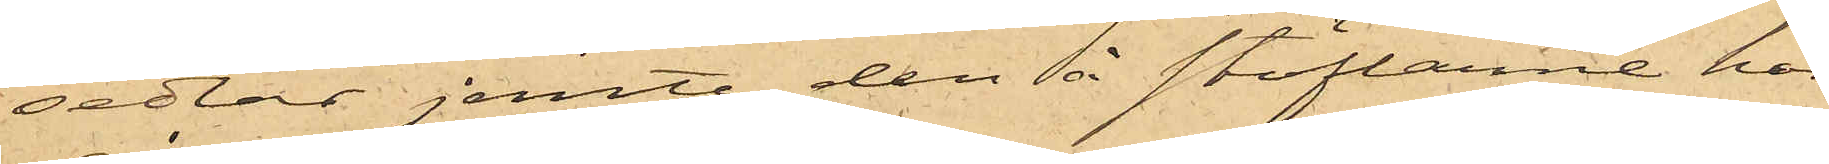sedlar jemte den å stöflarne här
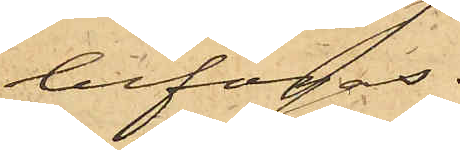bifogas.
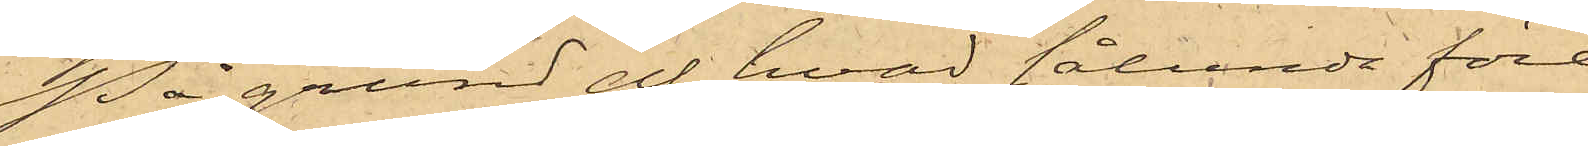På grund af hvad sålunda före¬
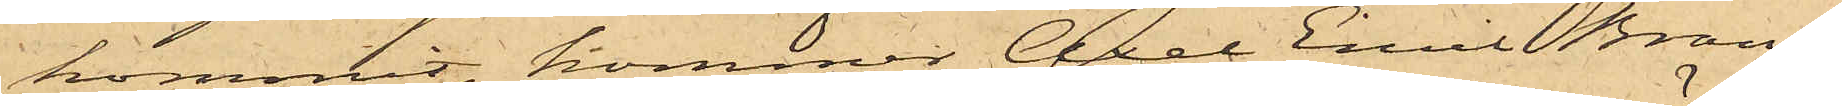kommit, kommer Axel Emil Brand¬
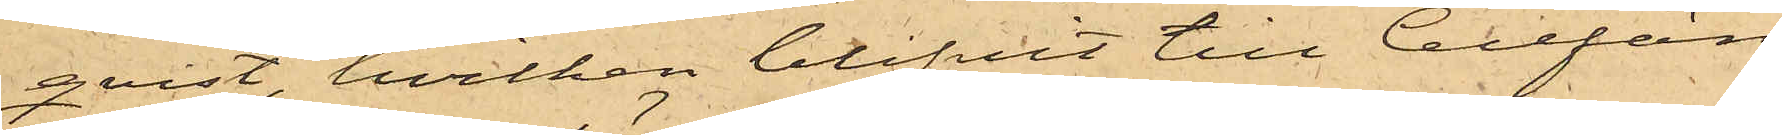qvist, hvilken blifvit till Cellfän¬
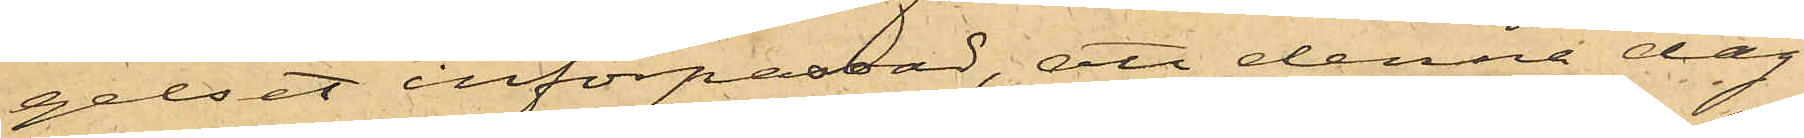gelset införpassad, att denna dag
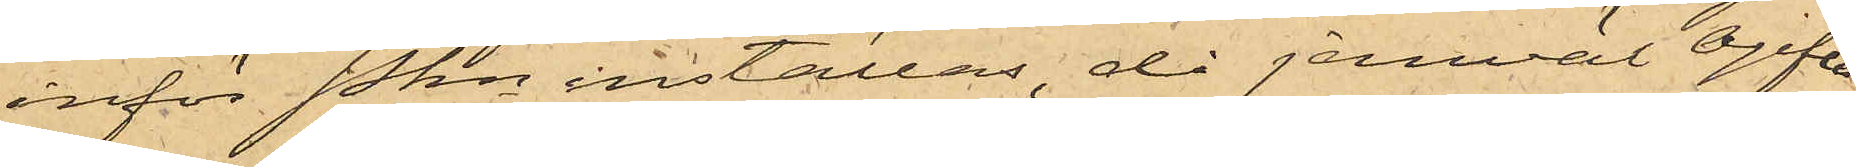inför Pkn inställas då jemväl Ogifta
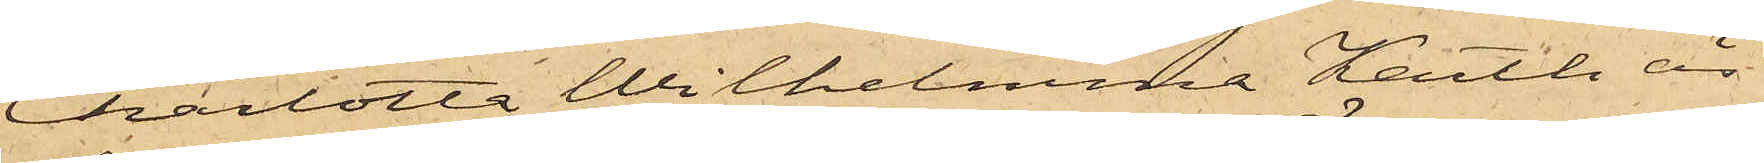Charlotta Wilhelmina Karth är
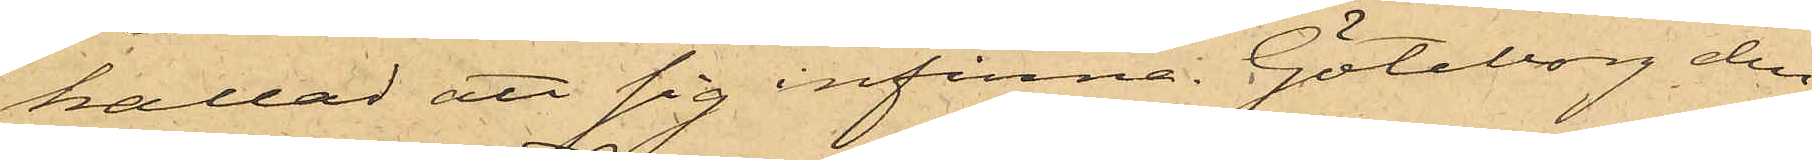kallad att sig infinna. Göteborg den
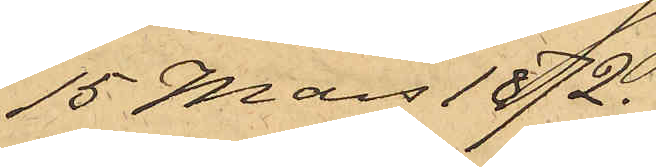15 Mars 1872.
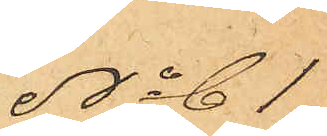No 61
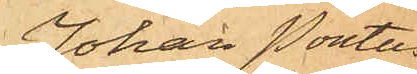Johan Pontus
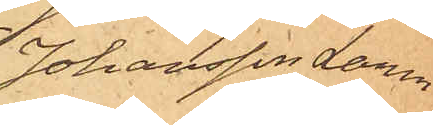Johansson Larm
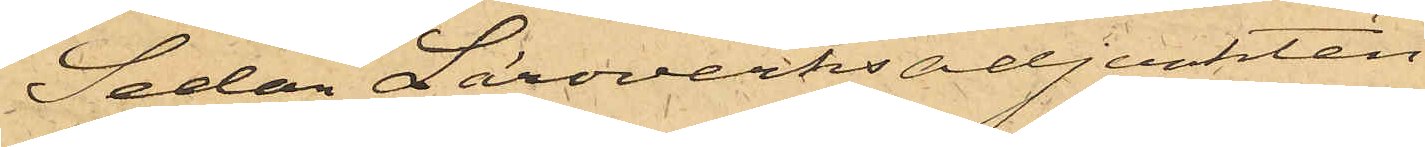Sedan Läroverksadjunkten
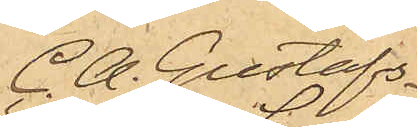C. A. Gustafs¬
